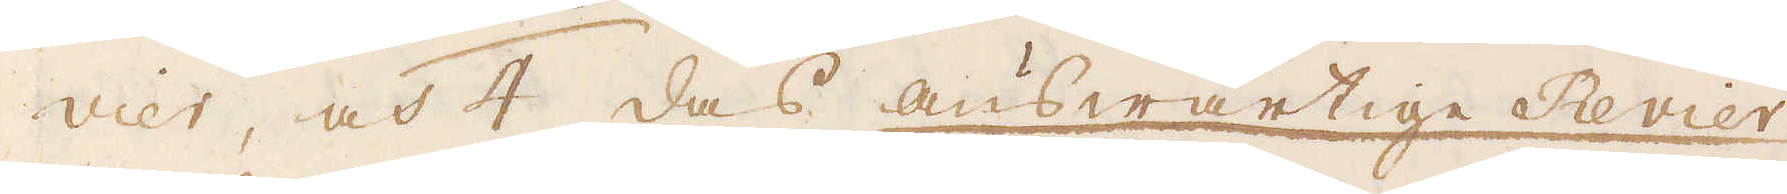vier, och 4 das answartige Revier
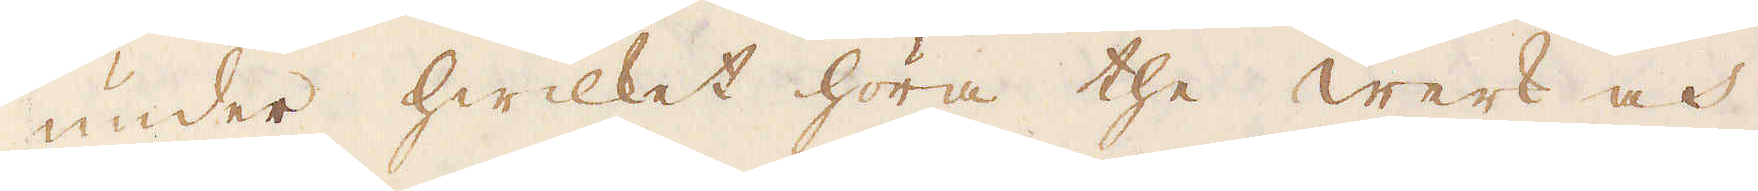under hwilket höra the werk och
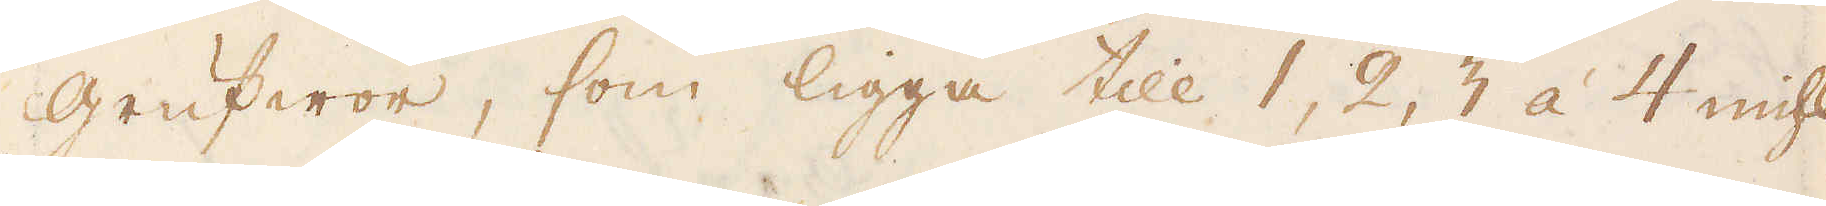grufwor, som ligga till 1, 2, 3 à 4 mihl-
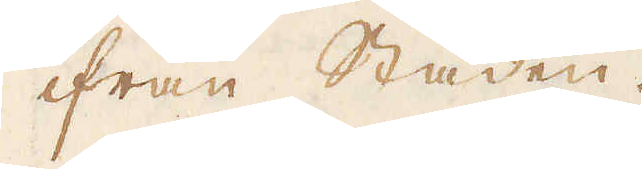ifrån Staden.
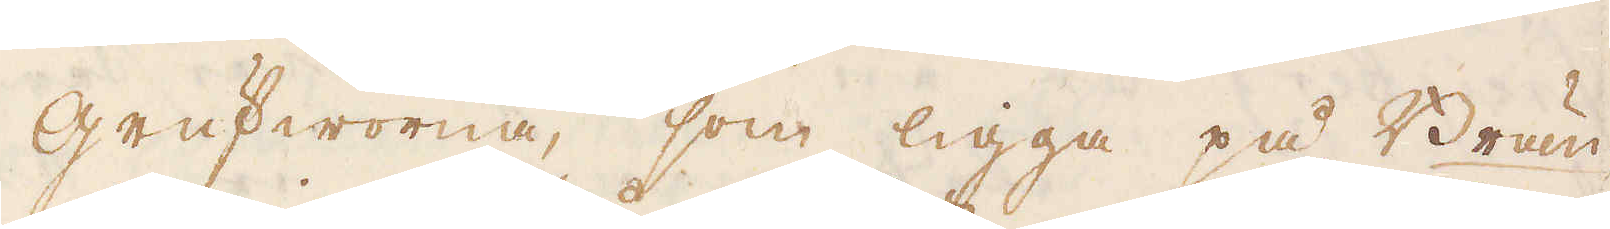Grufworna, som ligga på Brän-
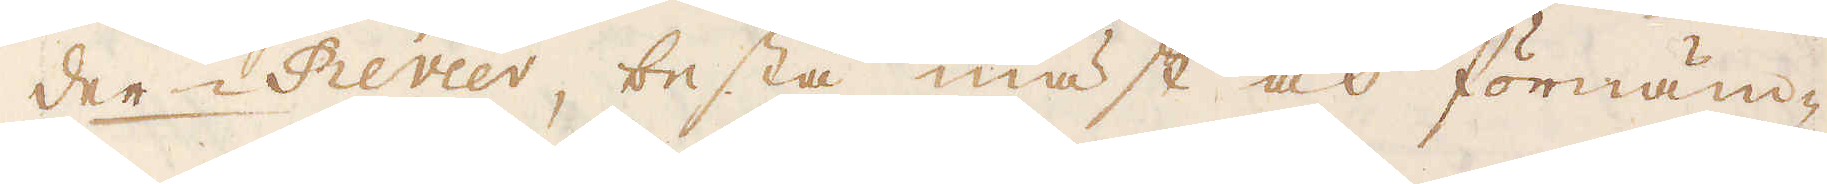der Revier, bestå mäst och förnäm-
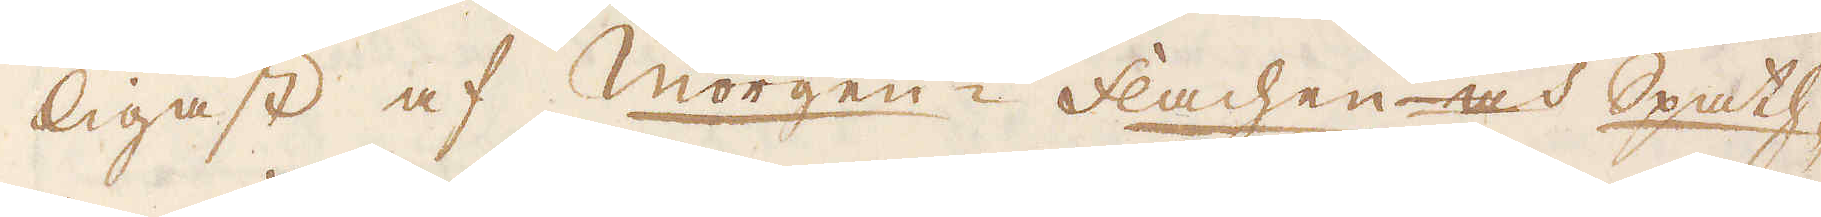ligast af Morgen-Flachen och Spath-
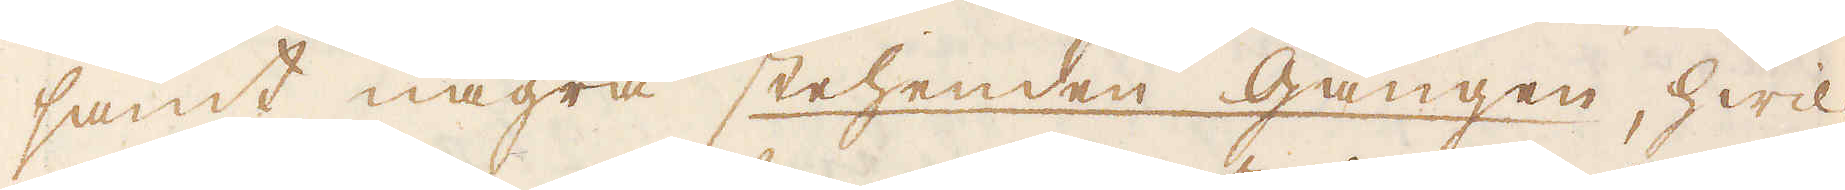samt några stehenden gången, hwil-
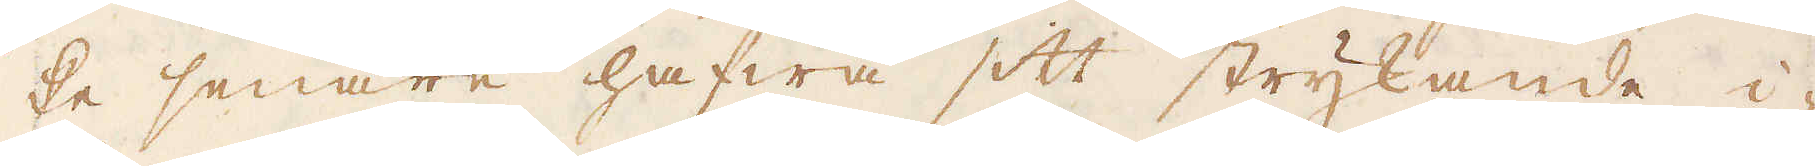ke senare hafwa sitt strykande i-
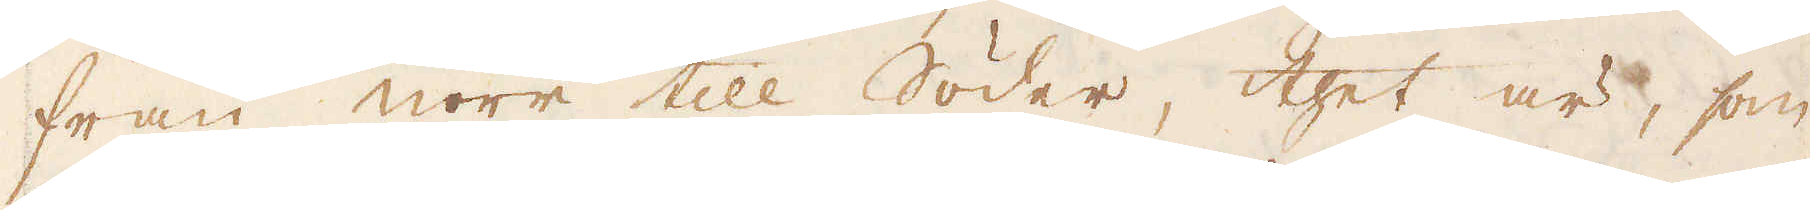från norr till Söder, thet är, som
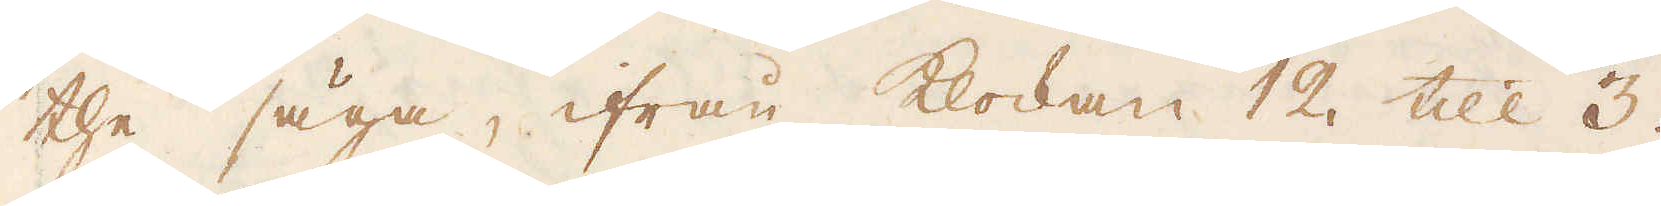the säga, ifrån klockan 12 till 3.
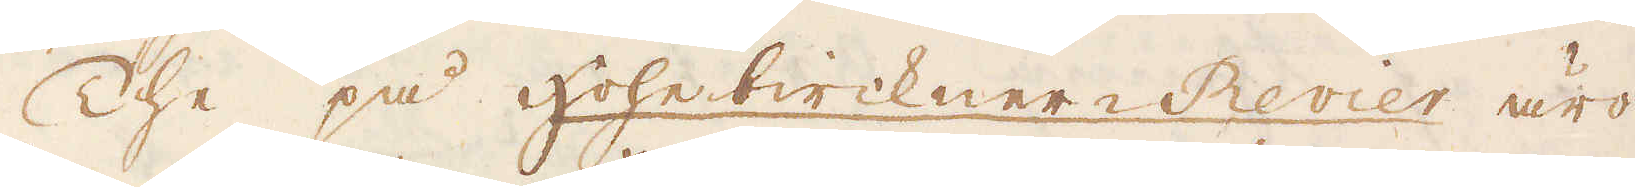The på hohebirkner-Revier äro
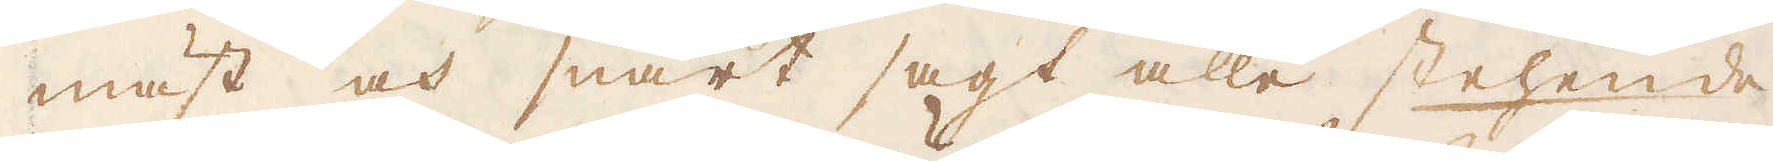mäst och snart sagt alle stehende
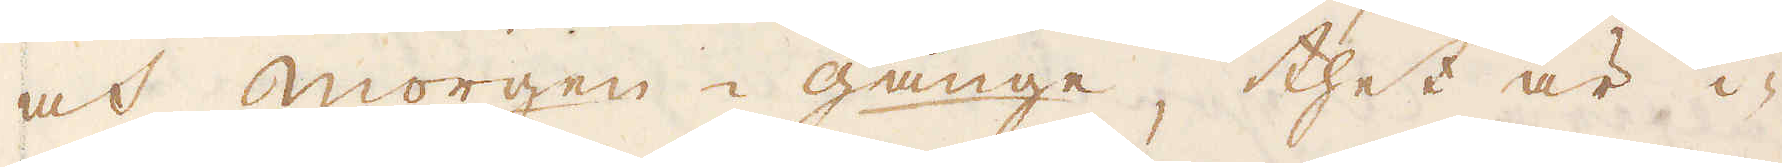oct morgen-gänge, thet är i-
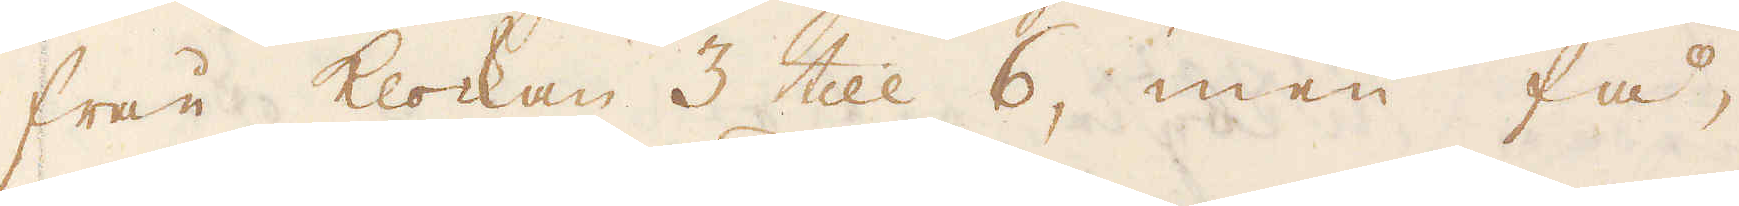från klockan 3 till 6, men få,
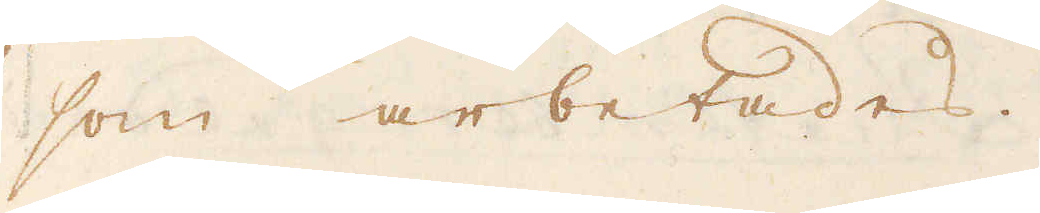som arbetades.
